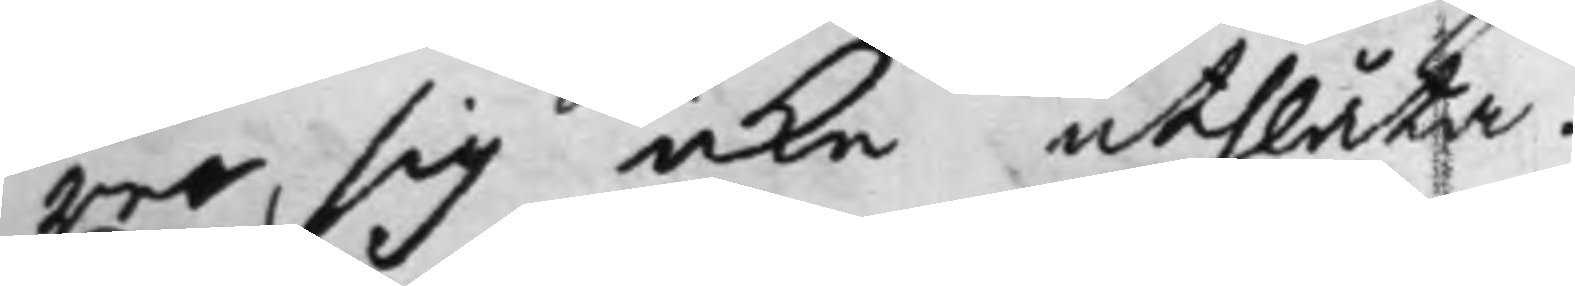rer, sig icke uthlåta.
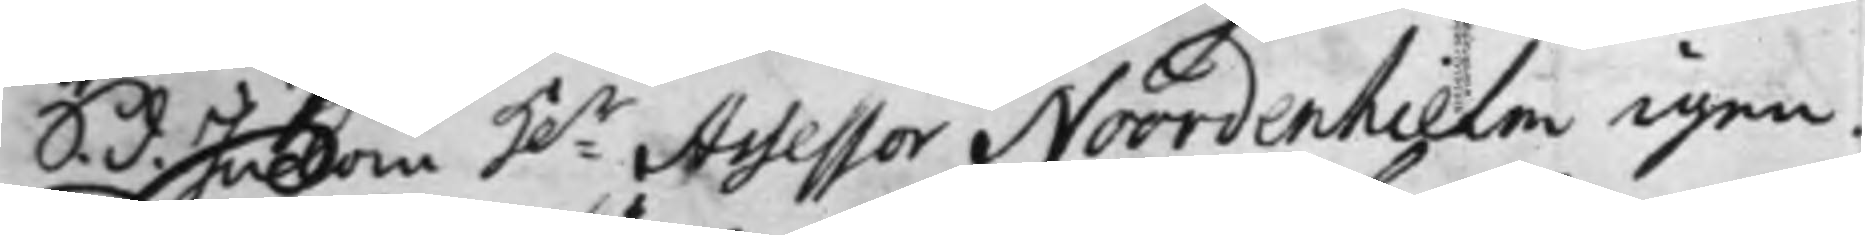S. d. Inkom H:r Assessor Noordenhielm igen.
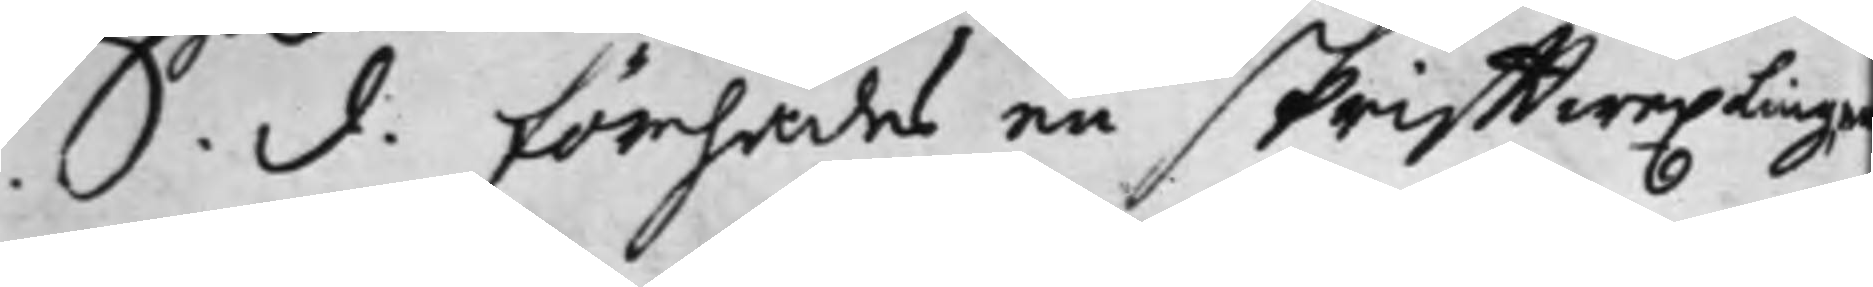S. d. förehades en skrifftwexling e
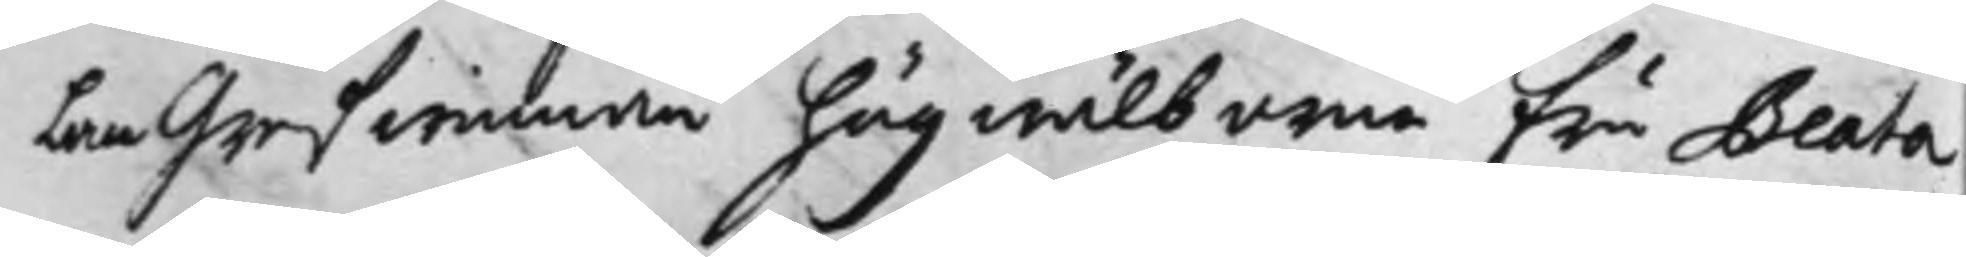lan Grefwinnan högwälborna Fru Beata
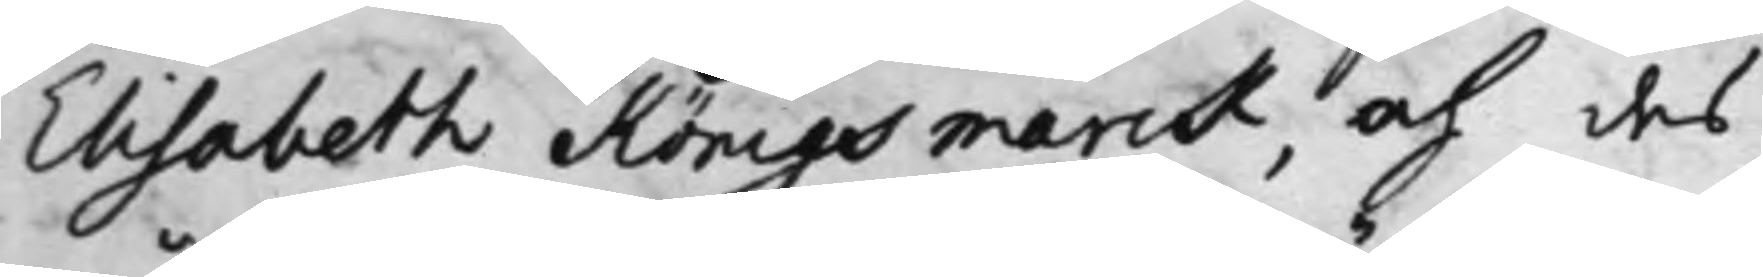Elisabeth Königsmarck, och des
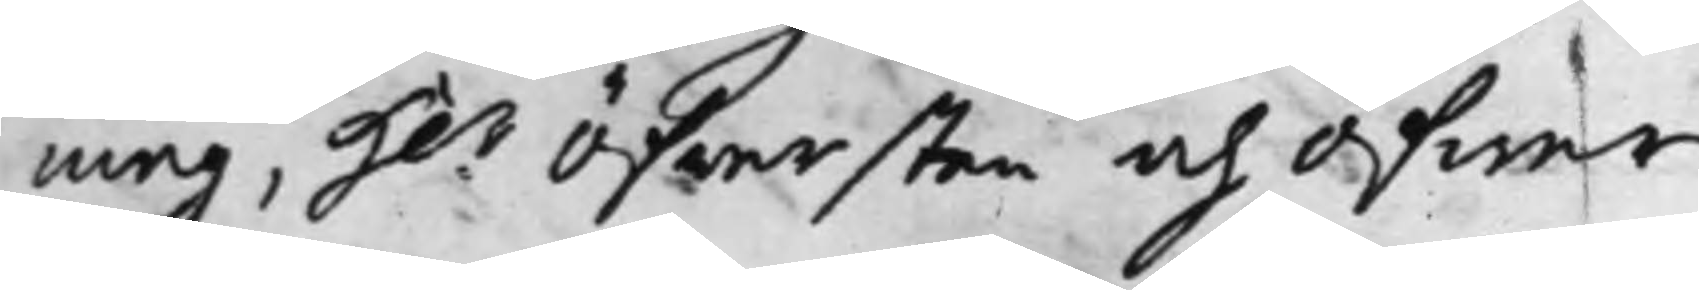måg, H:r Öfwersten och Öfwer
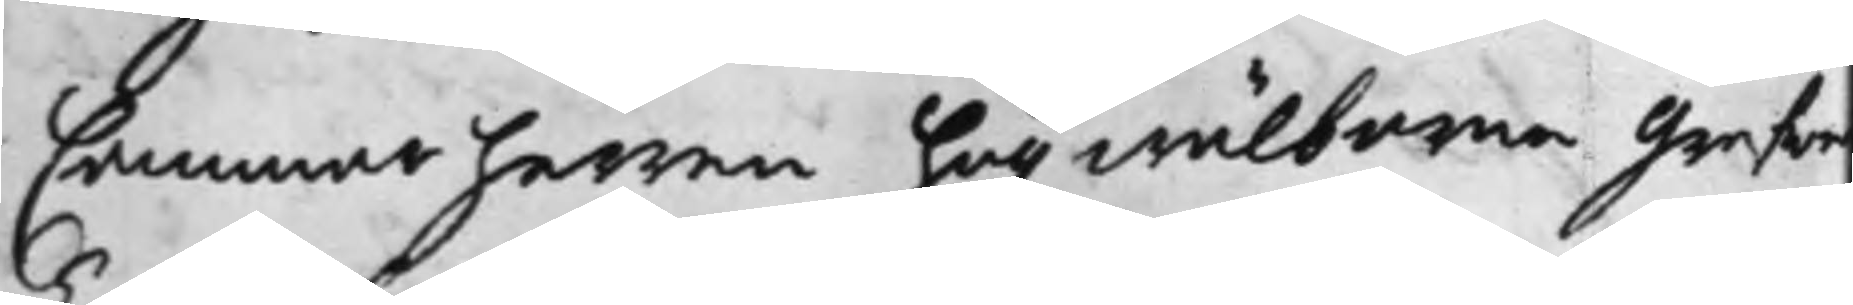Cammarherren högwälborna Grefwe
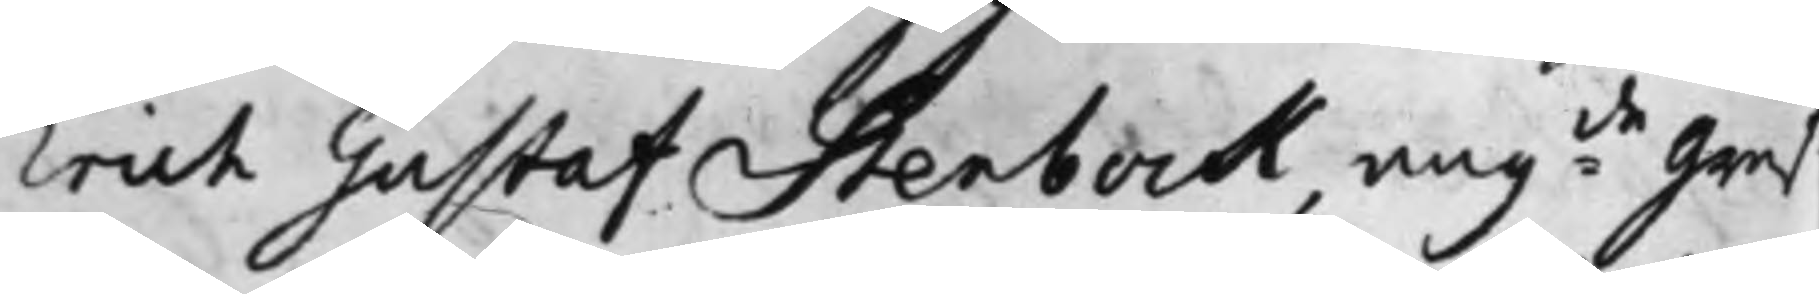Erich Gustaf Stenbock, ang:de Gref¬
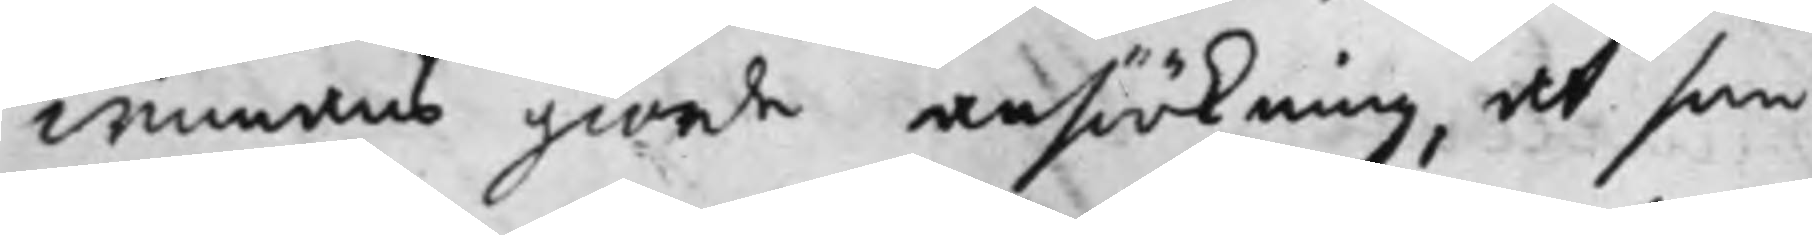winnans giorde ansöökning, at som
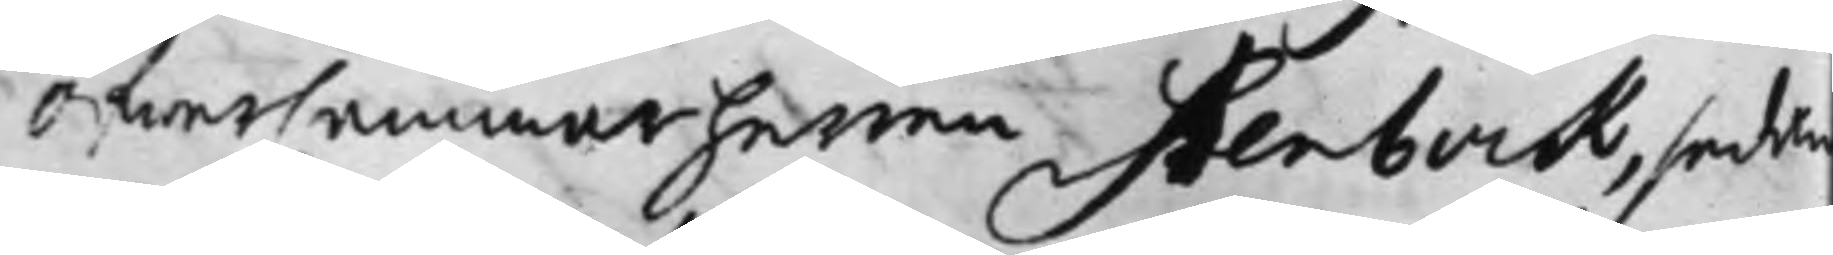ÖfwerCammarherren Stenbock, sedan
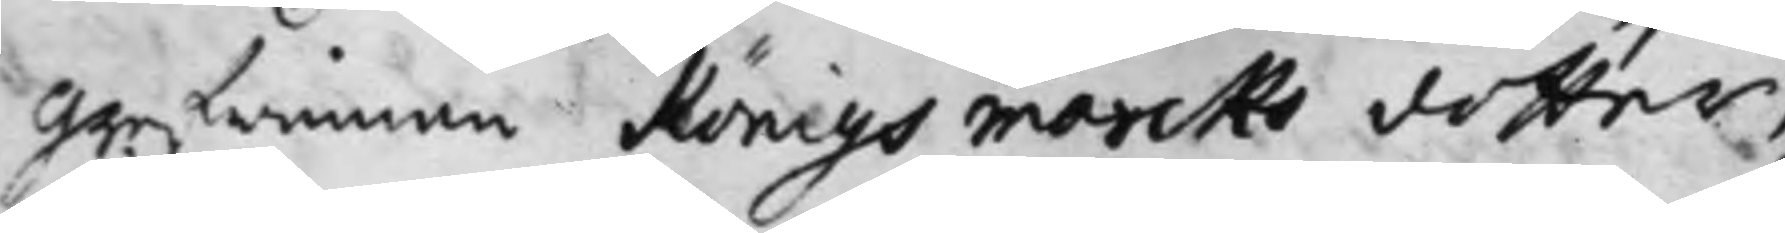Grefwinnan Königsmarcks dotter,
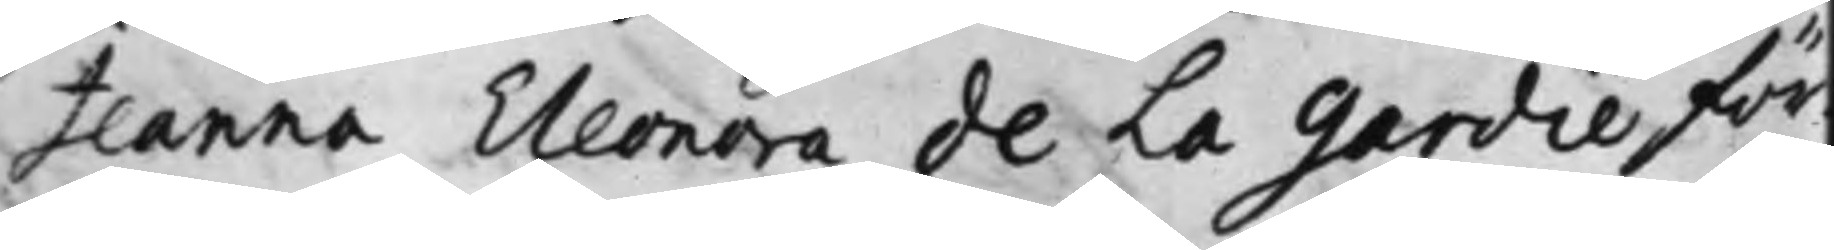Jeanna Eleonora de La Gardie för¬
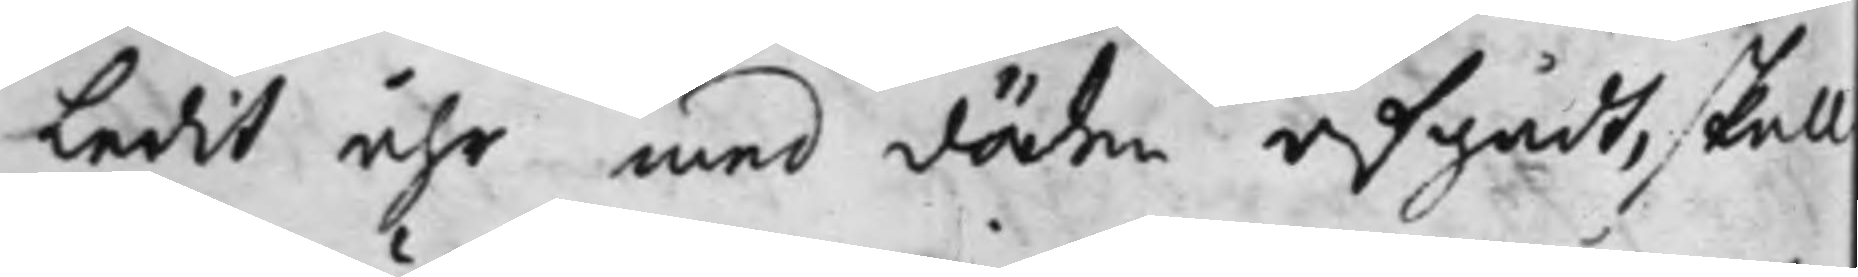ledit åhr med döden afgådt, skall
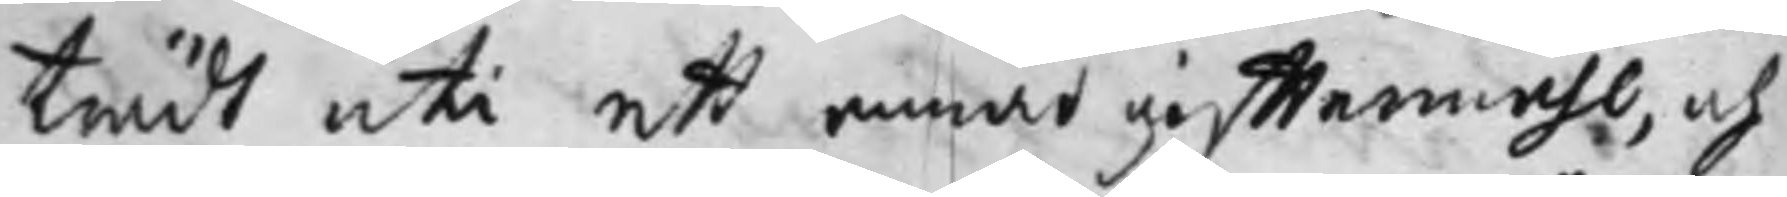trädt uti ett annat gifftermåhl, och
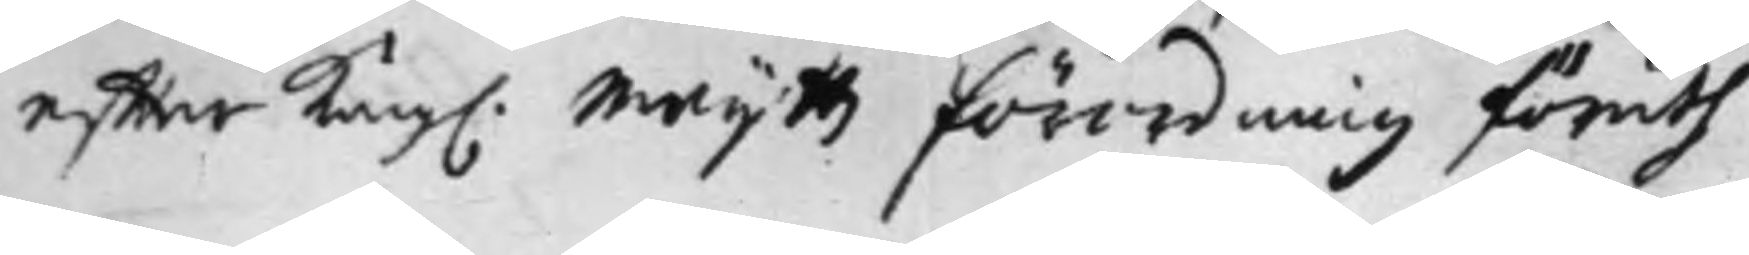effter Kong. Maijttz Förordning föruth
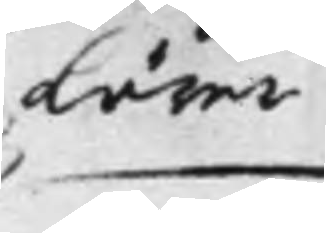lärer
